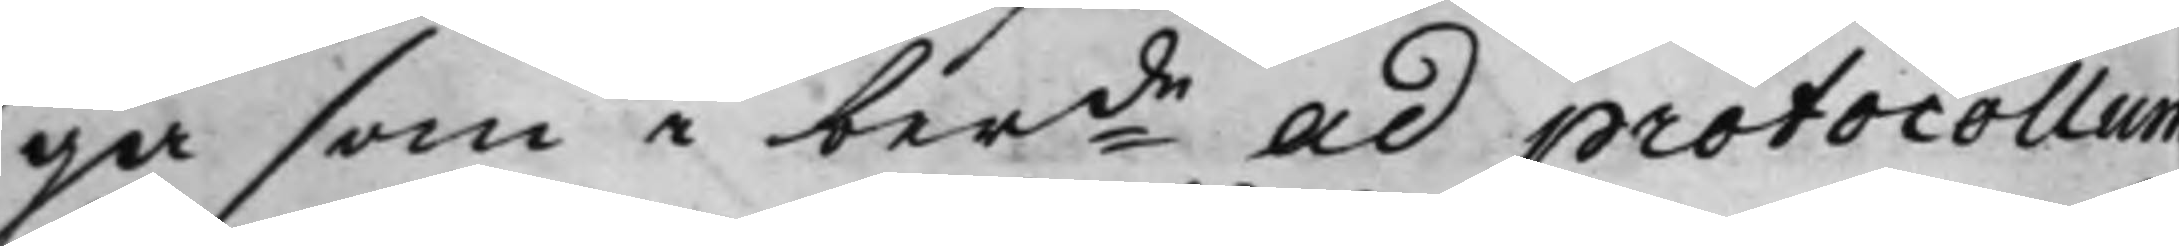ga som i berde ad protocollum
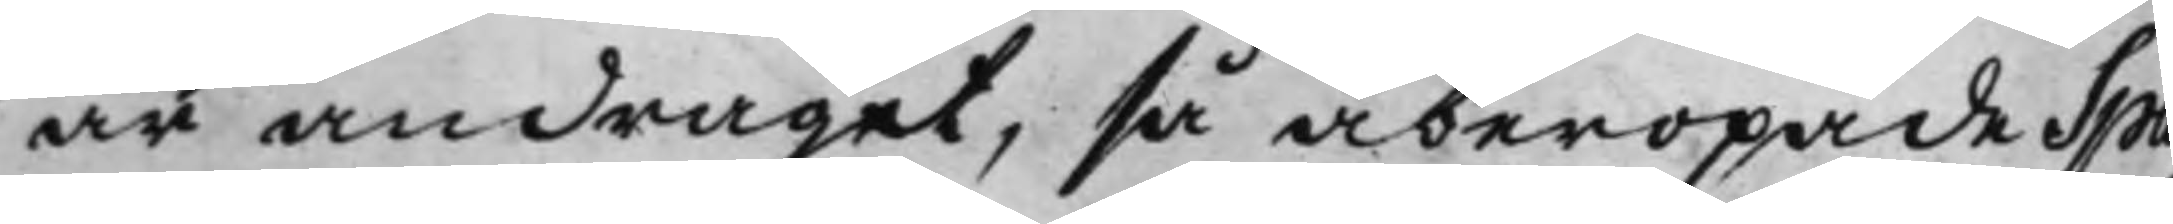är andraget, så åberopade Spar¬
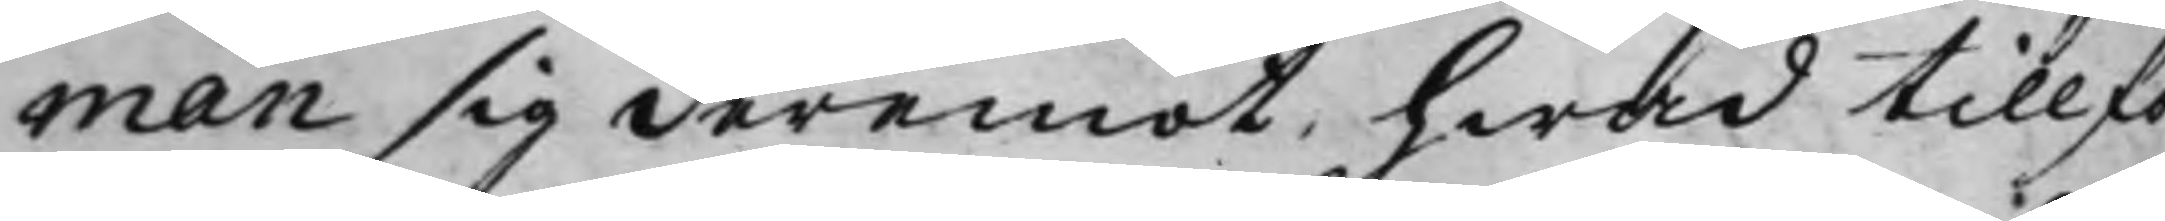man sig deremot, hwad tillfö¬
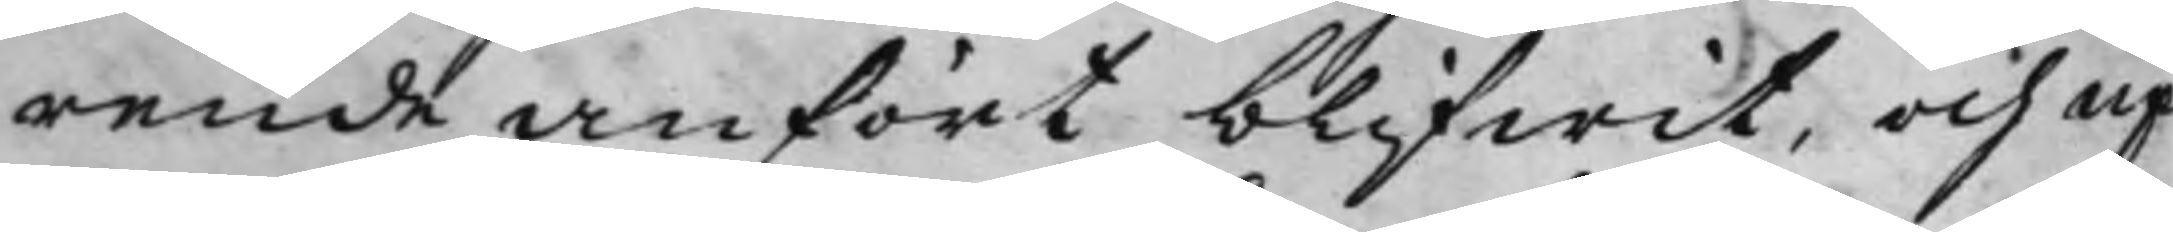rende anfört blifwit, och up¬
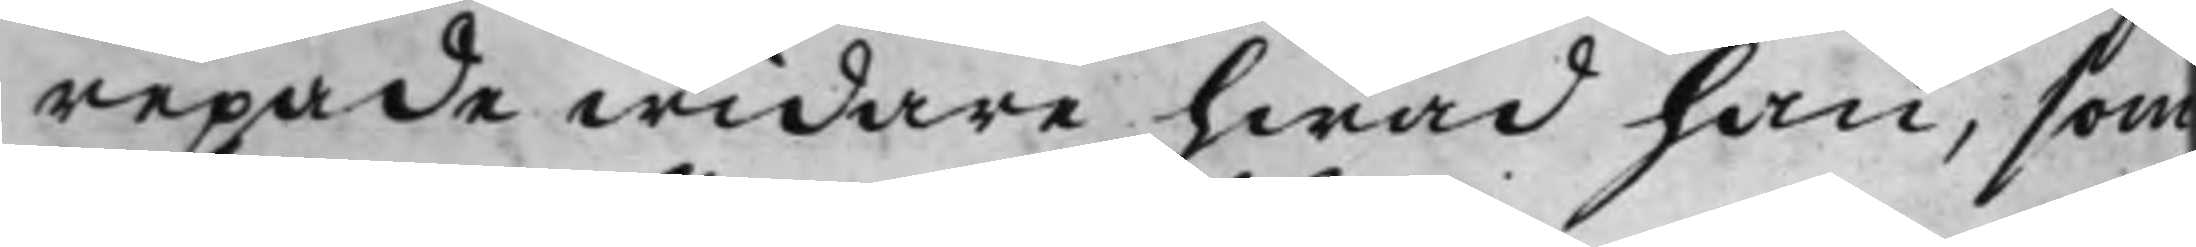repade widare hwad han, som
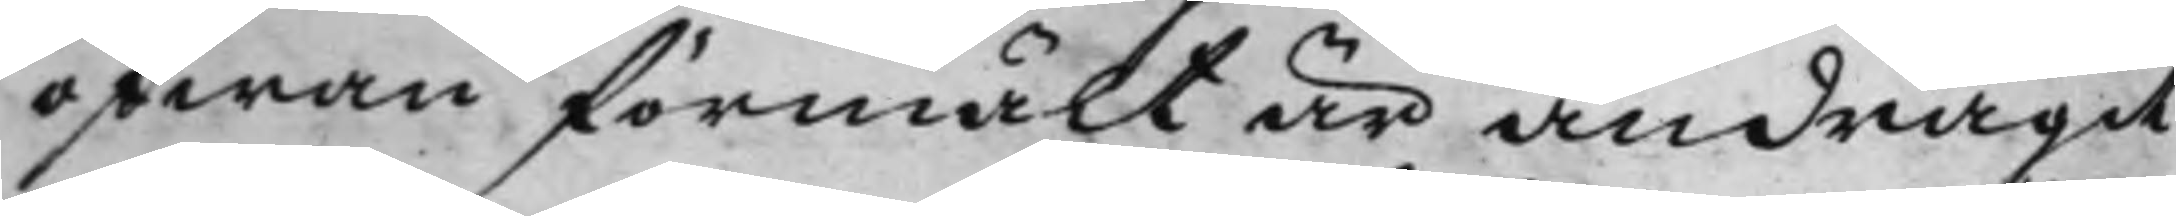ofwan förmält är andragit
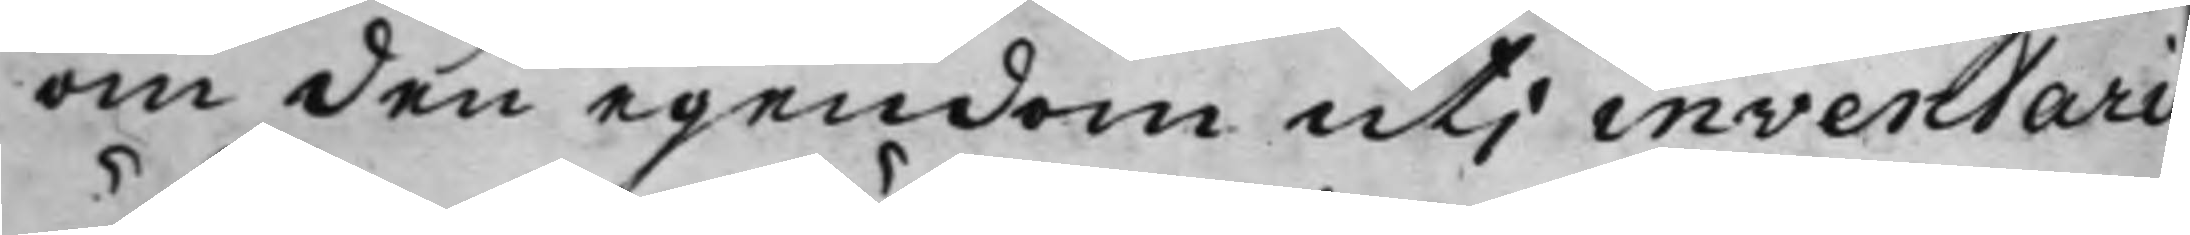om den egendom uti inventarie
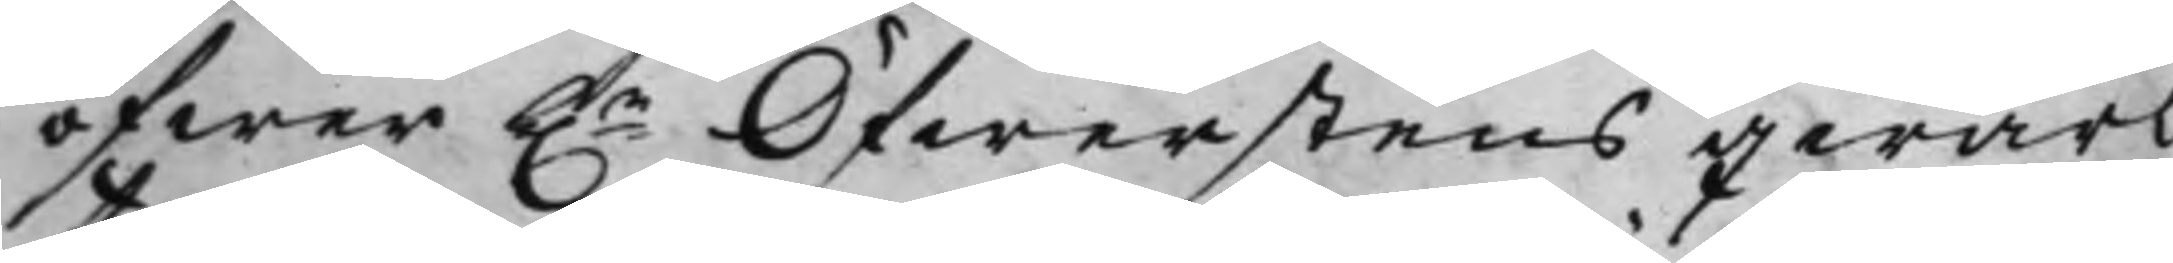öfwer h.r Öfwerstens qwarlå¬
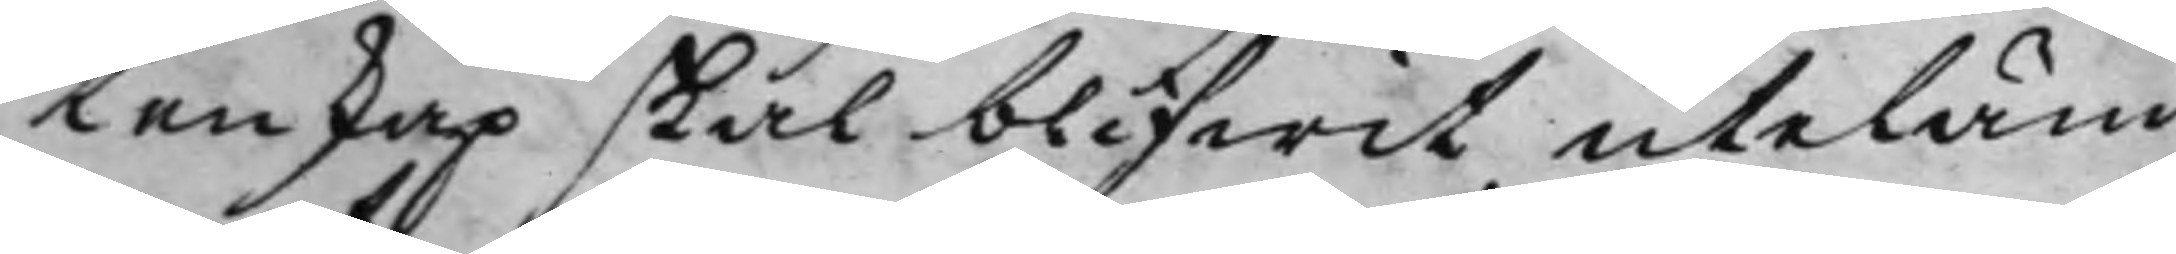tenskap skal blifwit uteläm¬
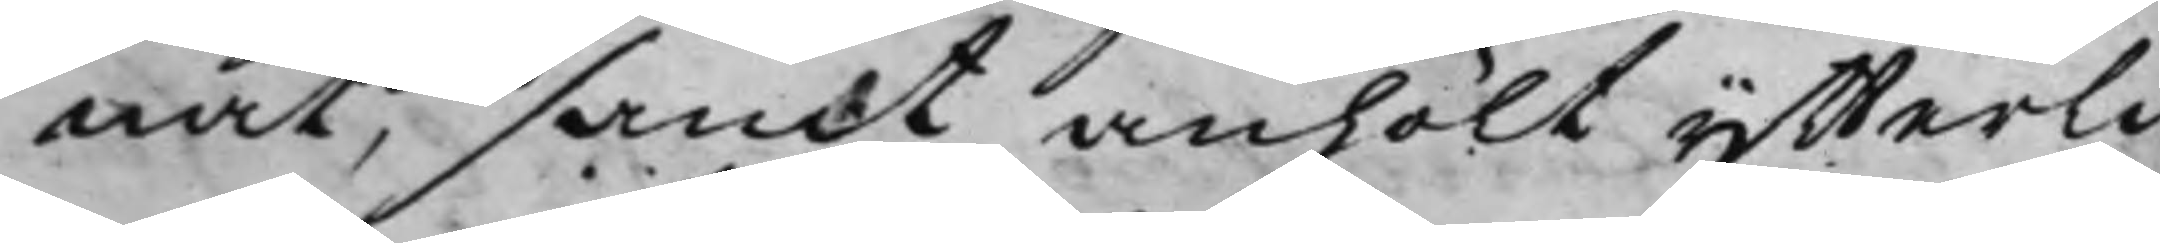nat, samt anhölt ytterli¬
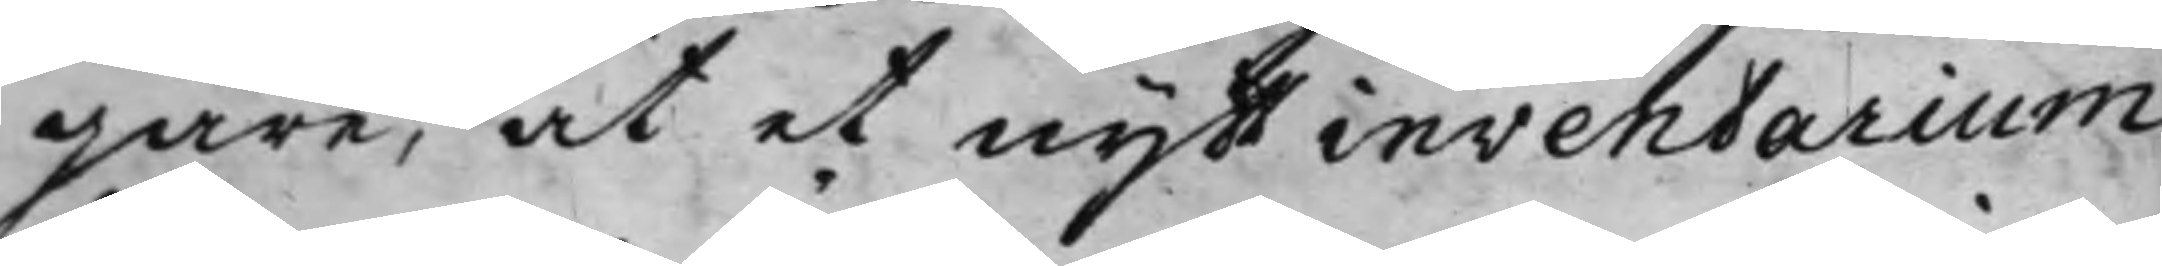gare, at et nytt inventarium
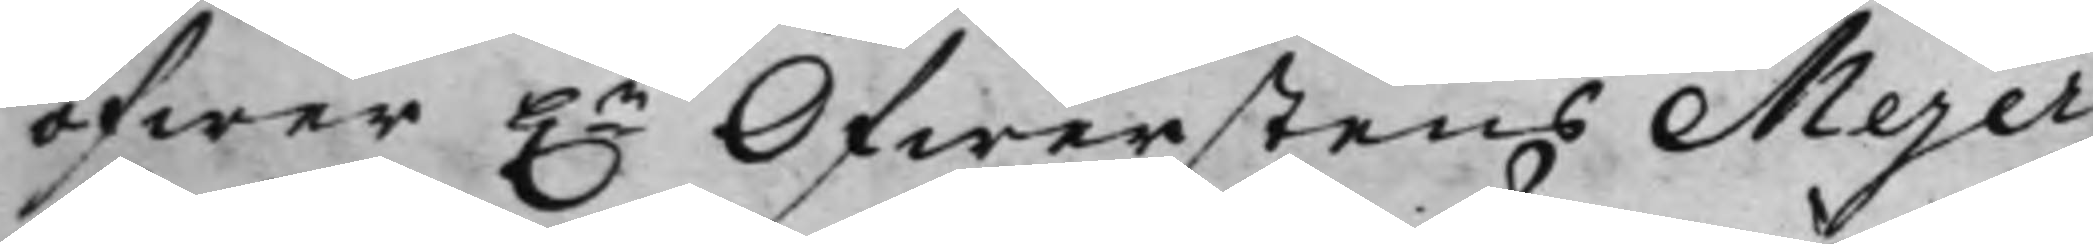öfwer h.r Öfwerstens Mejer¬
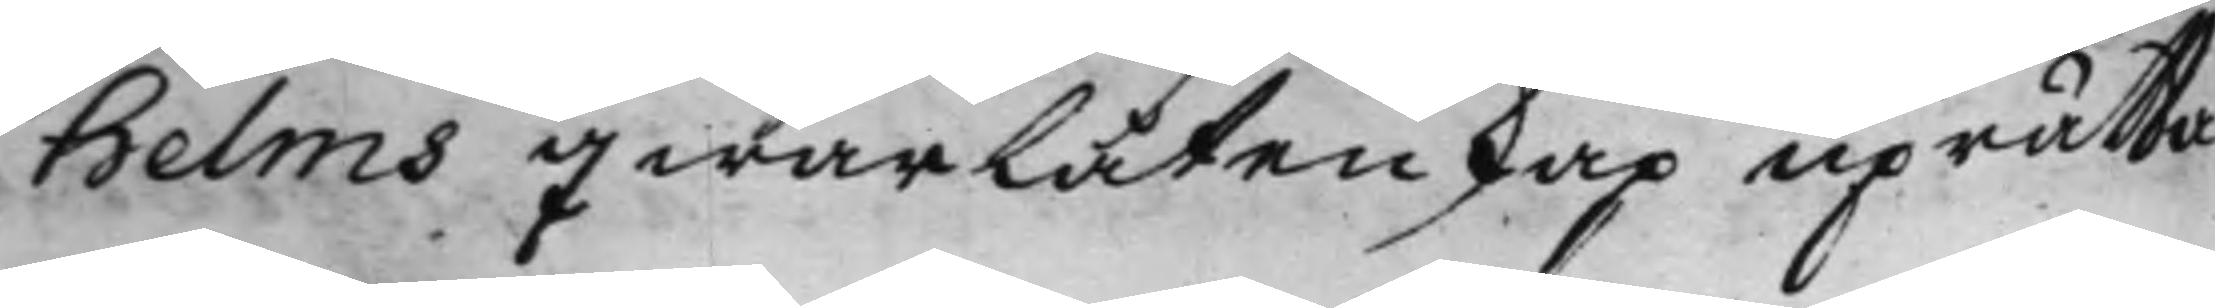helms qwarlåtenskap uprätta
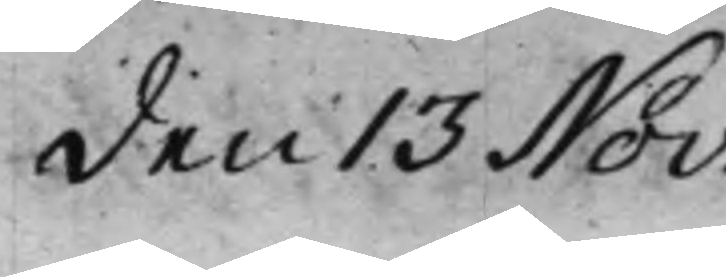den 13 Nov:
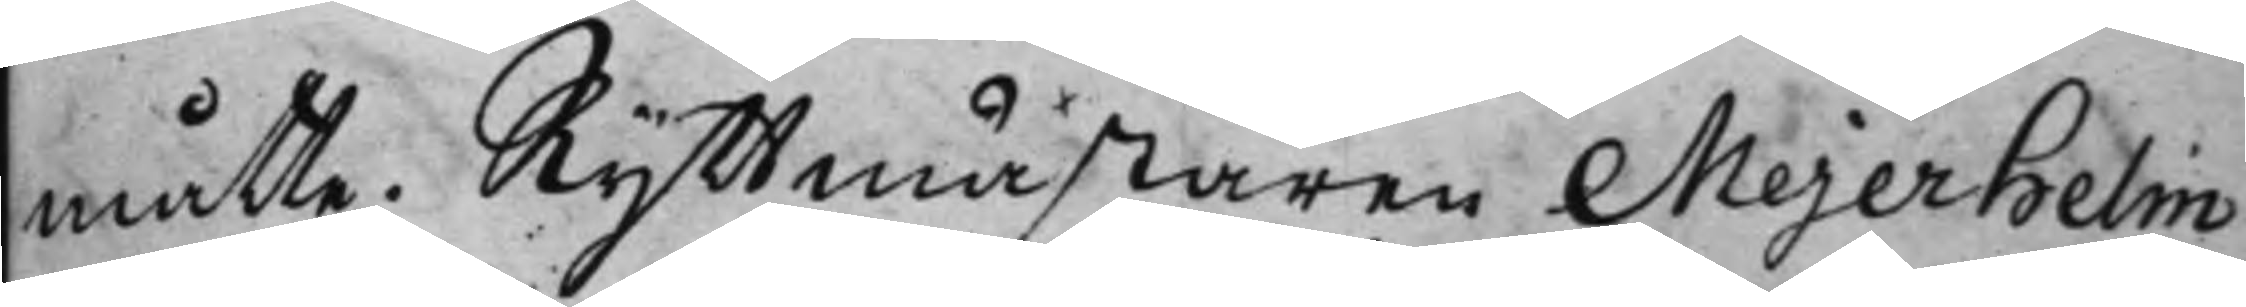måtte. Ryttmästaren Mejerhelm
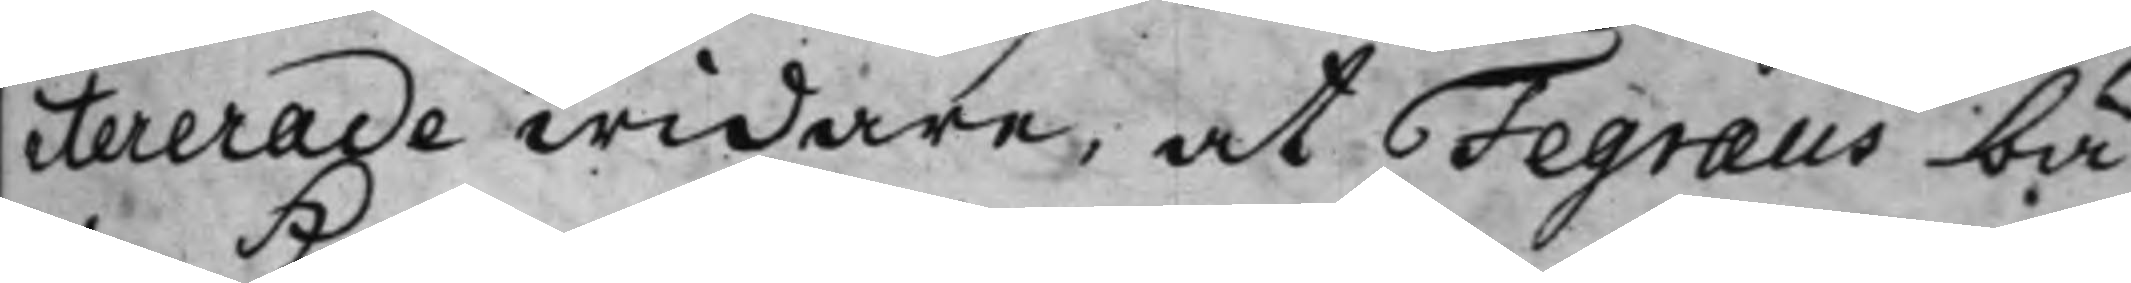itererade widare, at Fegræus bä¬
